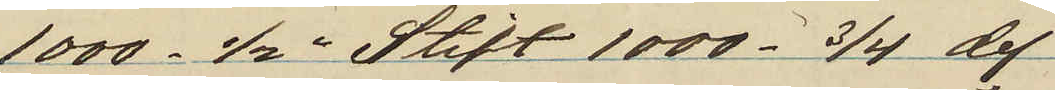1000 1/2" Stift 1000 3/4 do.
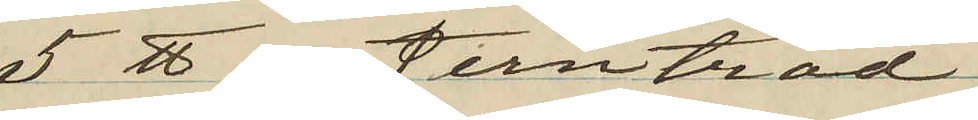5 ℔ jerntråd
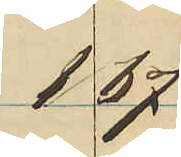1 67
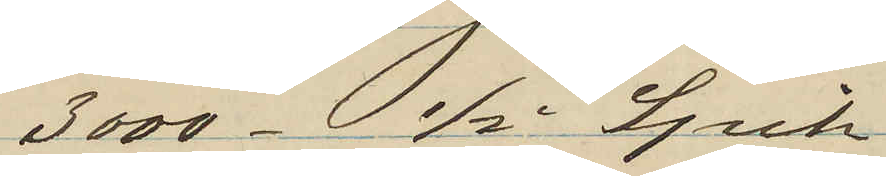3000 1/2" Spik
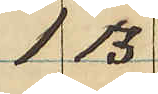1 13
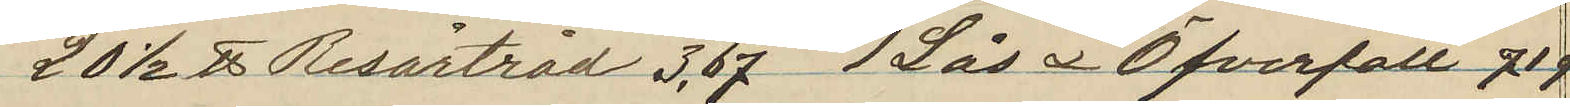20 1/2 ℔ Resårtråd 3,67 1 Lås & Öfverfall 71 o
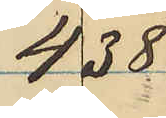4 38
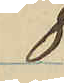8
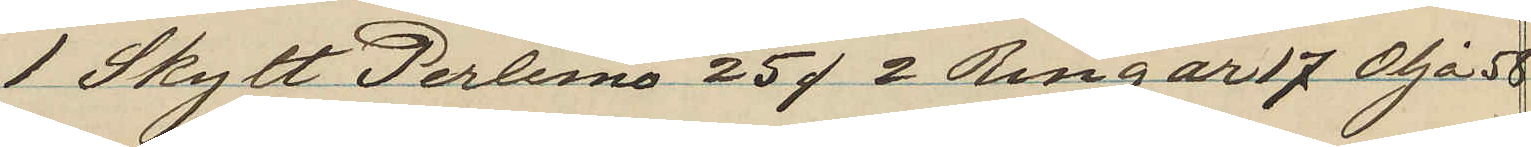1 Skylt Perlemo 25 o 2 Ringar 17 Olja 58
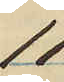11
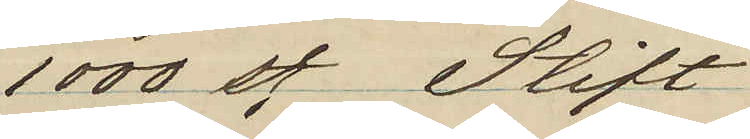1000 st Stift
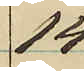14
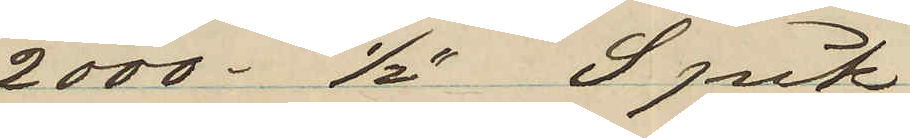2000 1/2" Spik
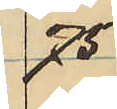75
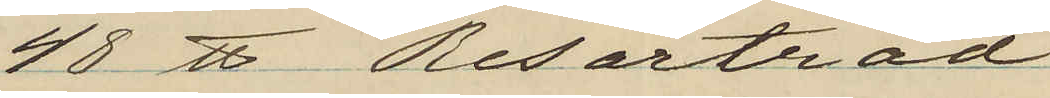48 ℔ Resårtråd
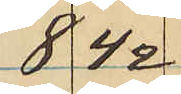8 42
